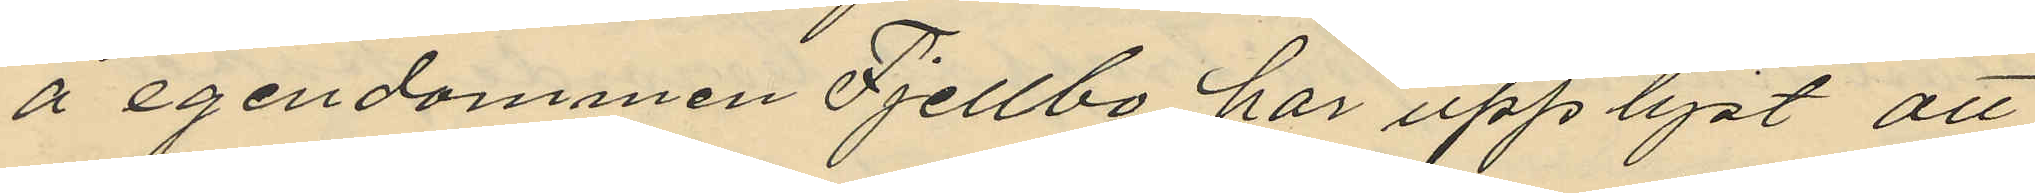å egendommen Fjellbo, har upplyst att
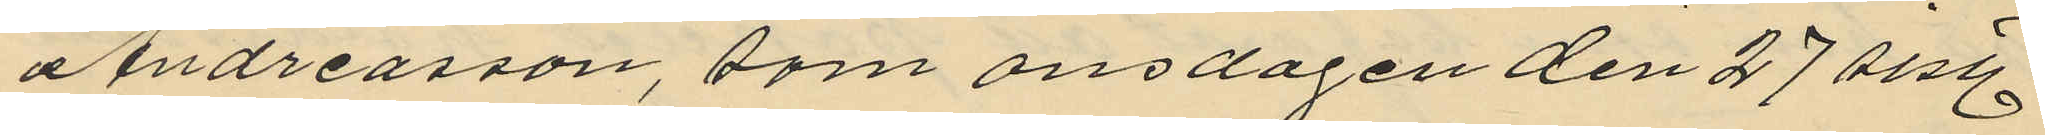Andreasson som onsdagen den 27 sist.
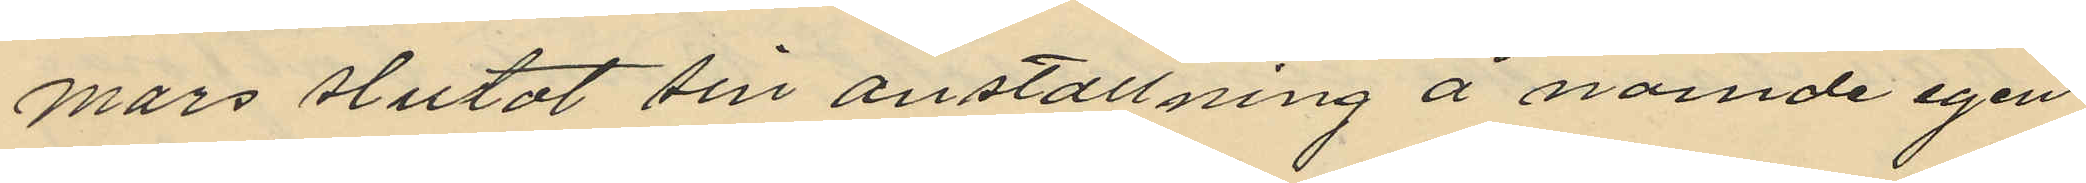mars slutat sin anställning å nämde egen
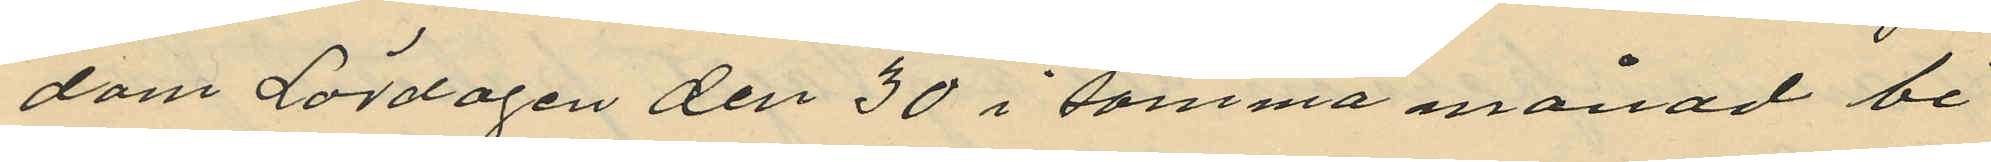dom Lördagen den 30 i samma månad bi¬
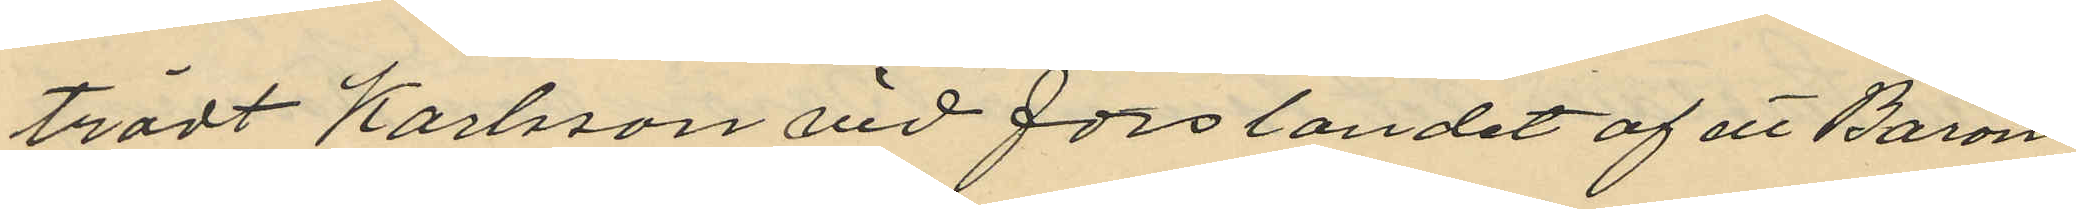trädt Karlsson vid forslandet af att Baron
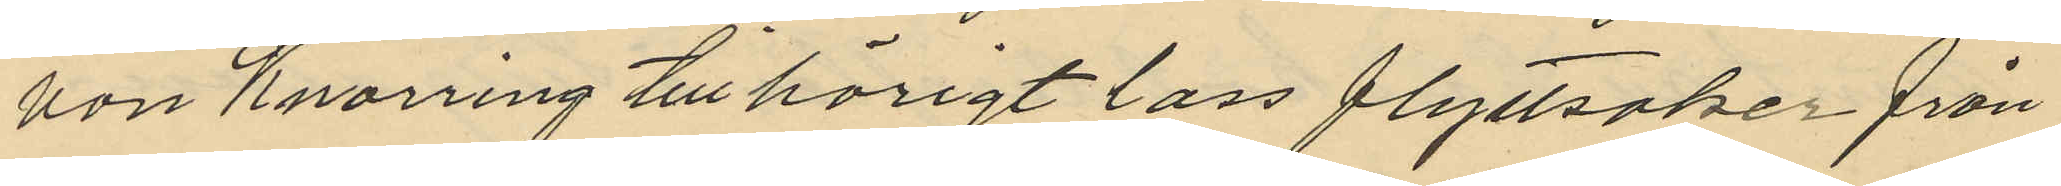von Knorring tillhörigt lass flyttsaker från
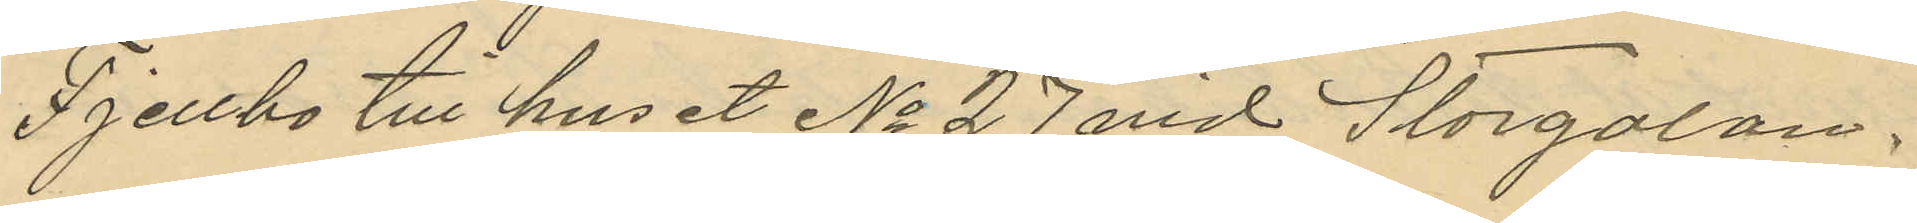Fjellbo till huset No 27 vid Storgatan.
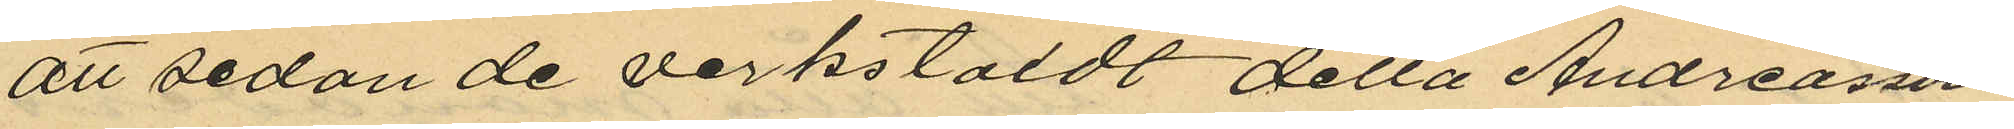att sedan de verkstäldt detta Andreasson
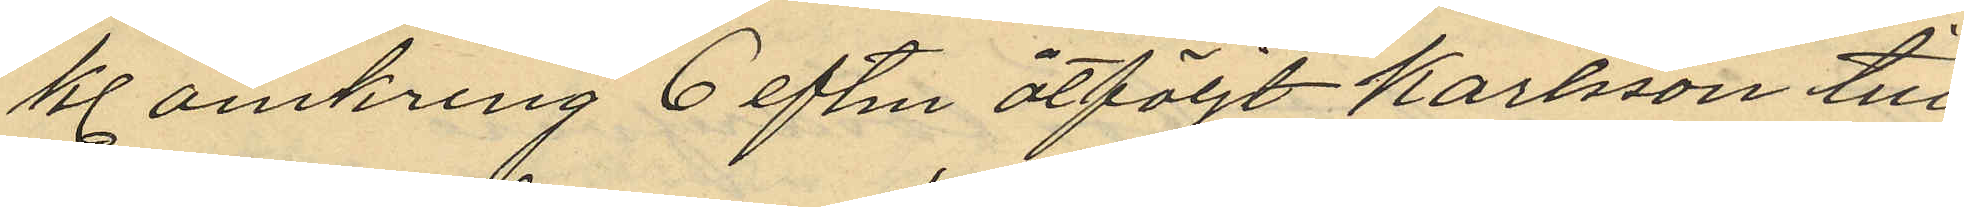kl omkring 6 eftm åtföljt Karlsson till
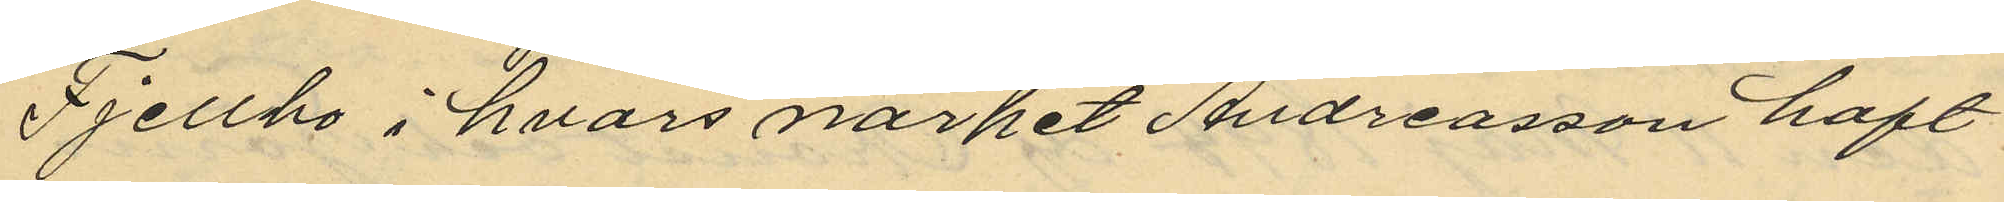Fjellbo i hvars närhet Andreasson haft
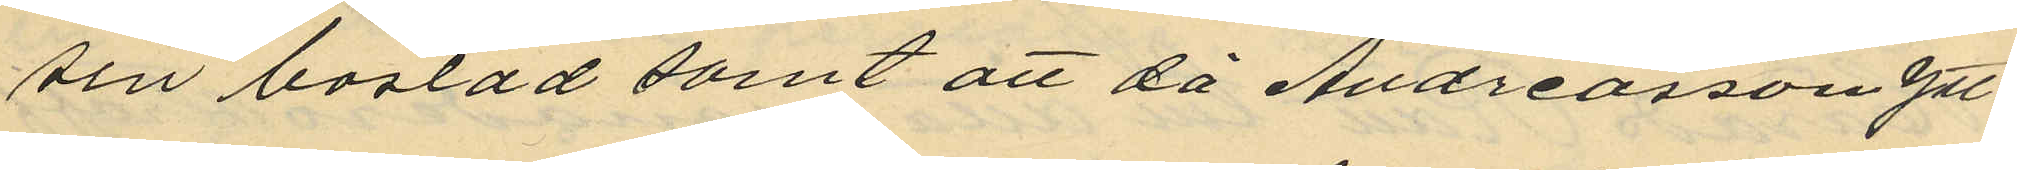sin bostad samt att då Andreasson ytt¬
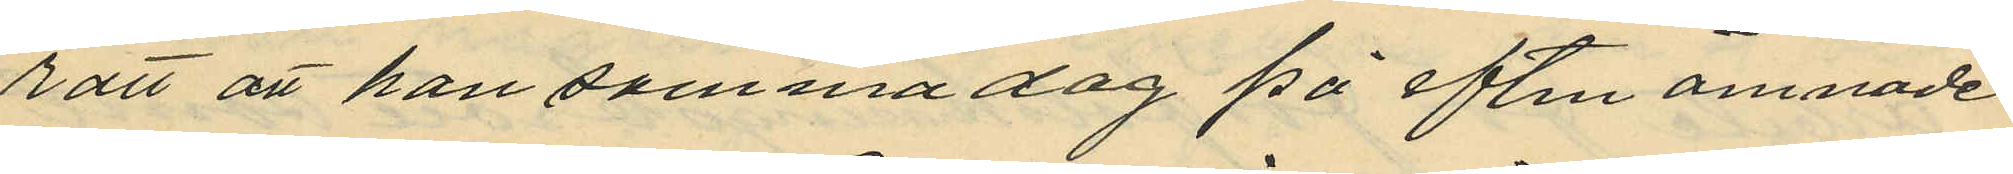ratt att han samma dag på eftm ämnade
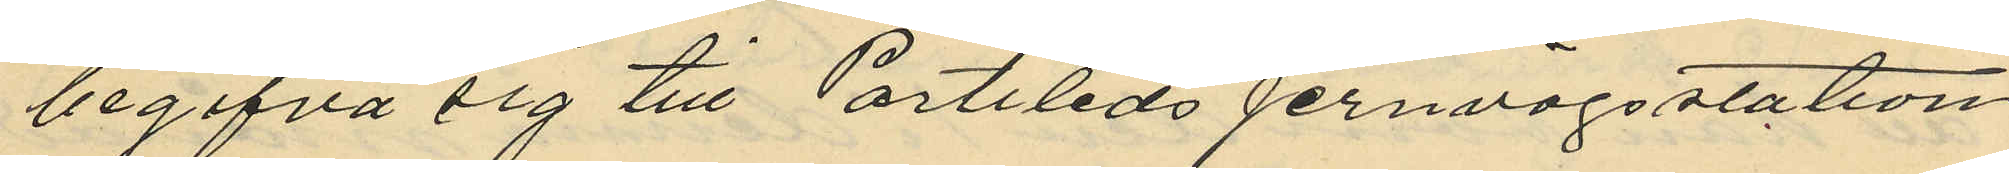begifva sig till Partileds jernvägsstation
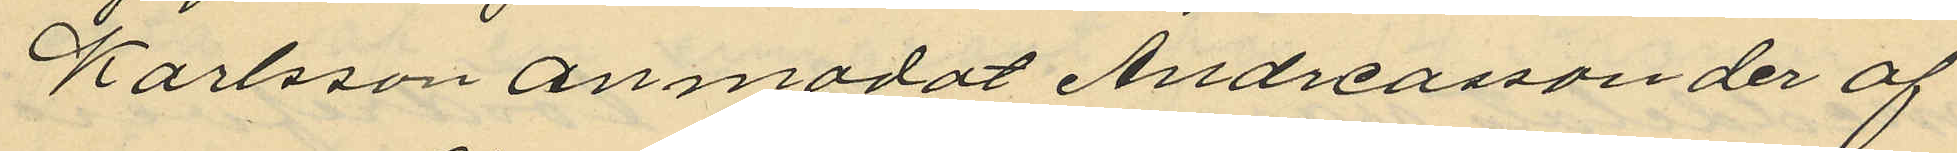Karlsson anmodat Andreasson der af
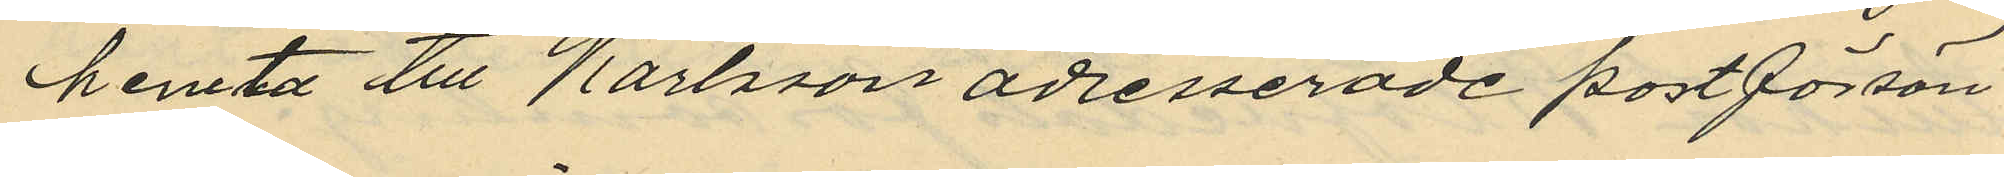hemta till Karlsson adresserade postförsän¬
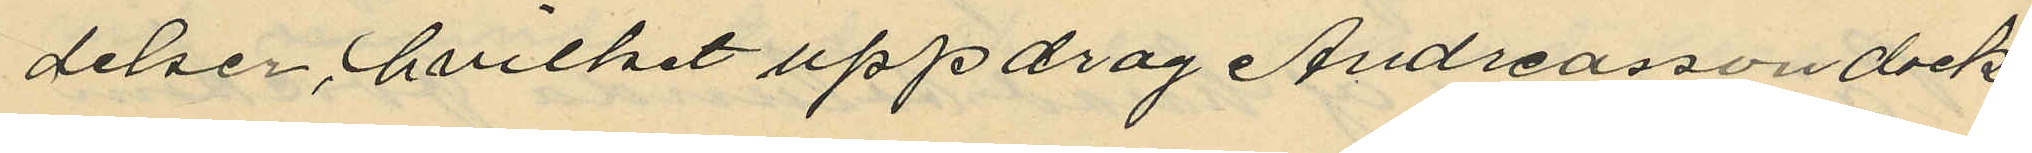delser hvilket uppdrag Andreasson dock
